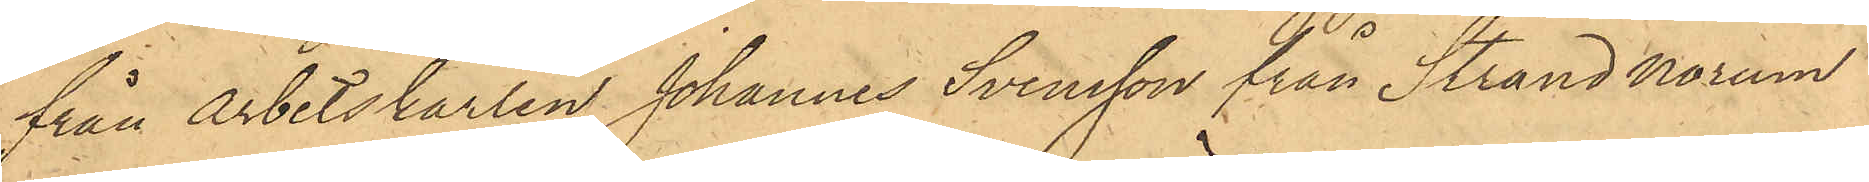från Arbetskarlen Johannes Svensson från Strand Norum
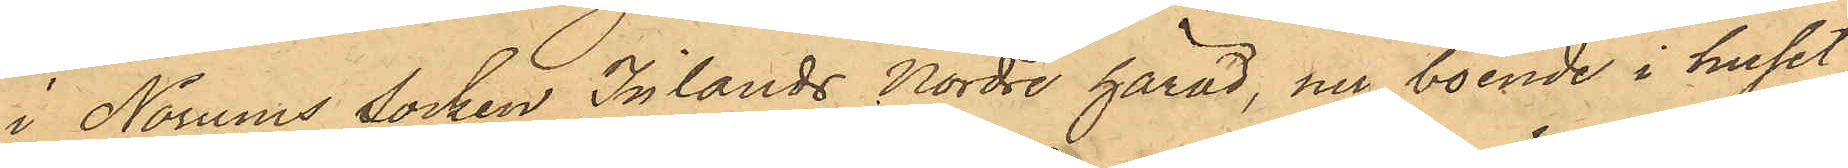i Norums Socken Inlands Nordre härad, nu boende i huset
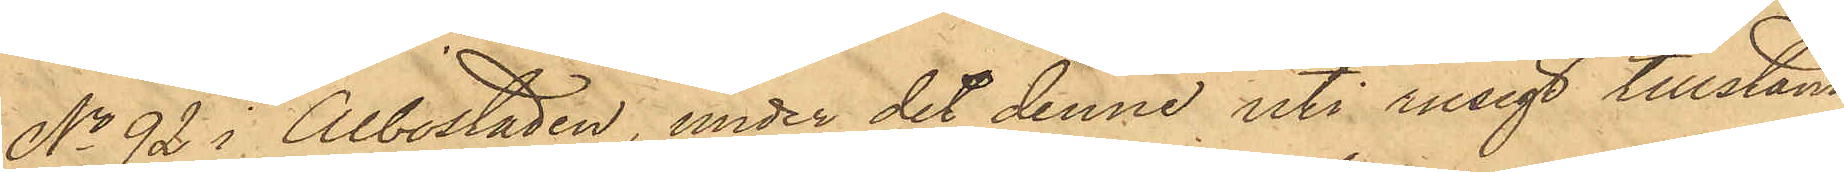No 92 i Albostaden, under det denne uti rusigt tillstånd
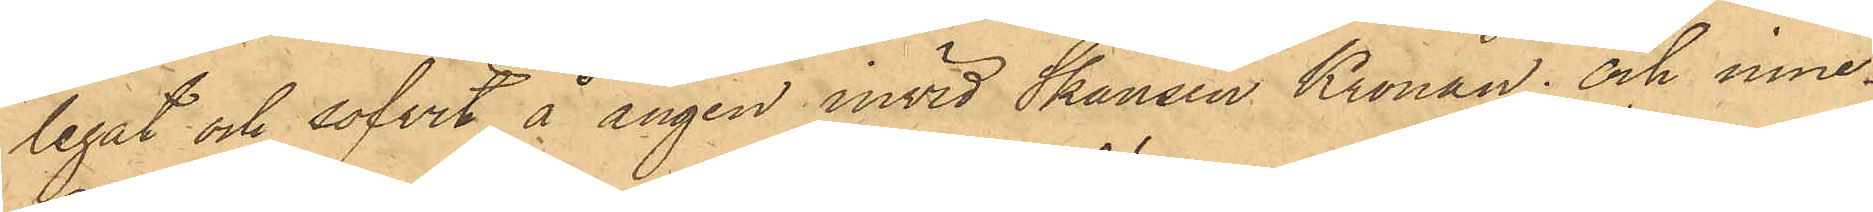legat och sofvit å ängen invid Skansen Kronan; och inne¬
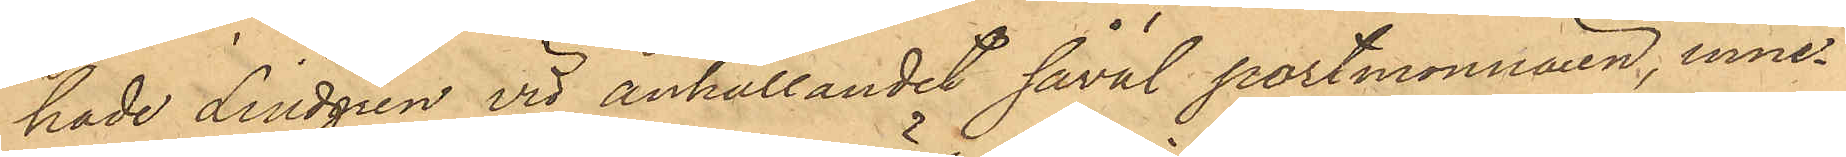hade Lindgren vid anhållandet såväl portmonnaien, inne¬
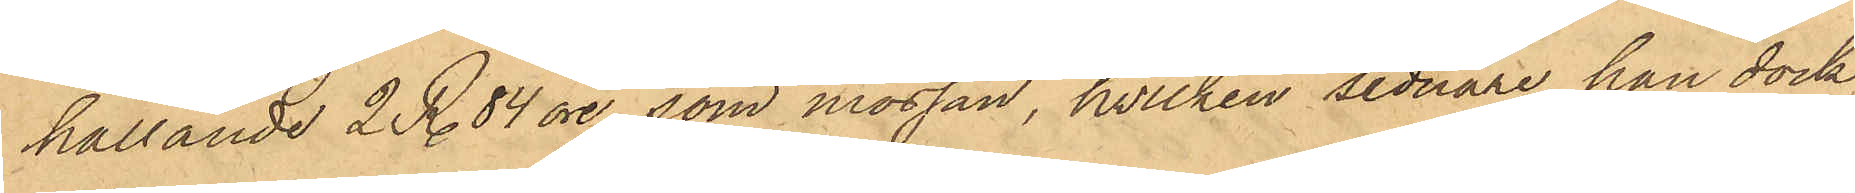hållande 2 R. 84 öre, som mössan, hvilken sednare han dock
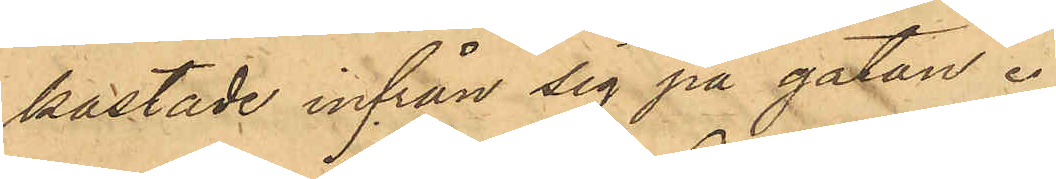kastade infrån sig på gatan.
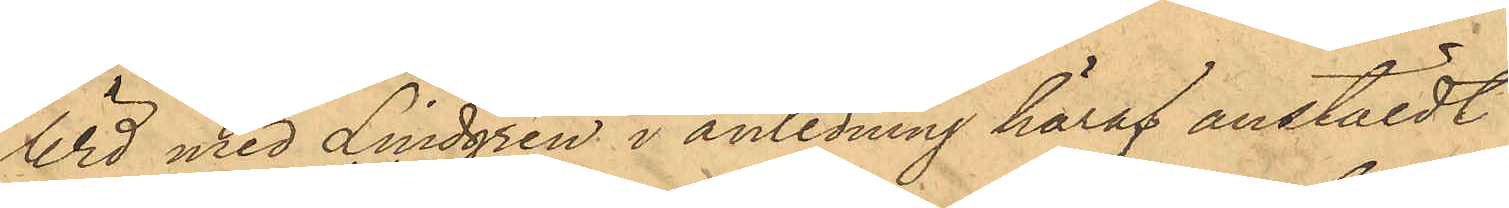Wid med Lindgren i anledning häraf anstäldt
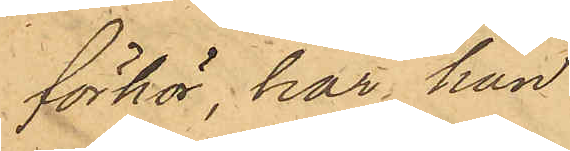förhör, har han
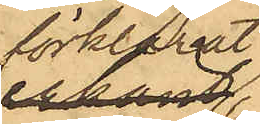förklarat,
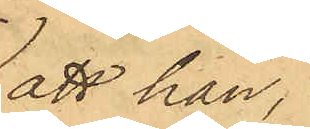att han,
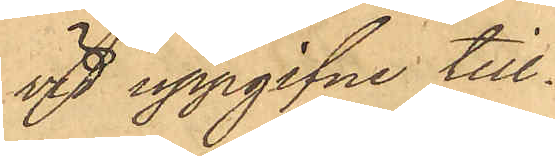vid uppgifne till¬
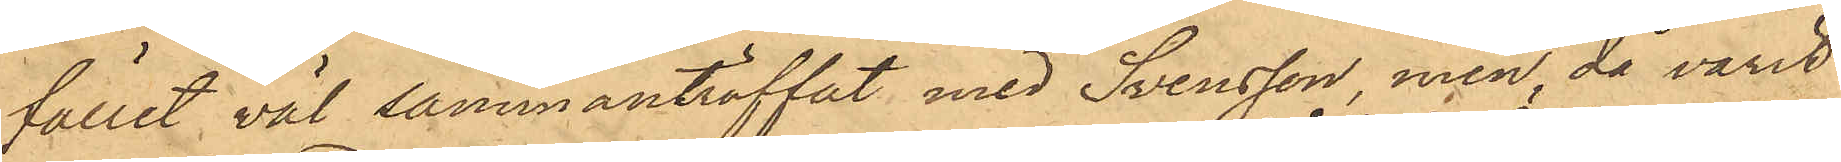fället väl sammanträffat med Svensson, men då varit
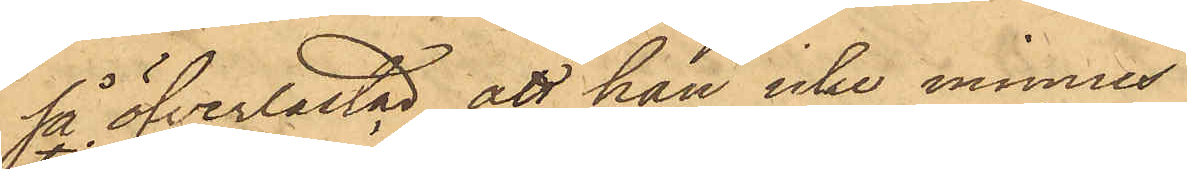så öfverlastad, att han icke minnes
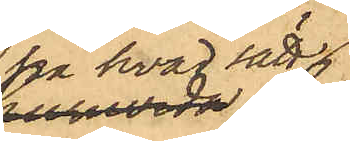på hvad sätt
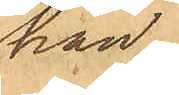han
